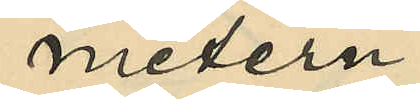metern
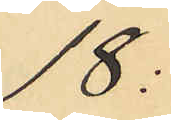18:
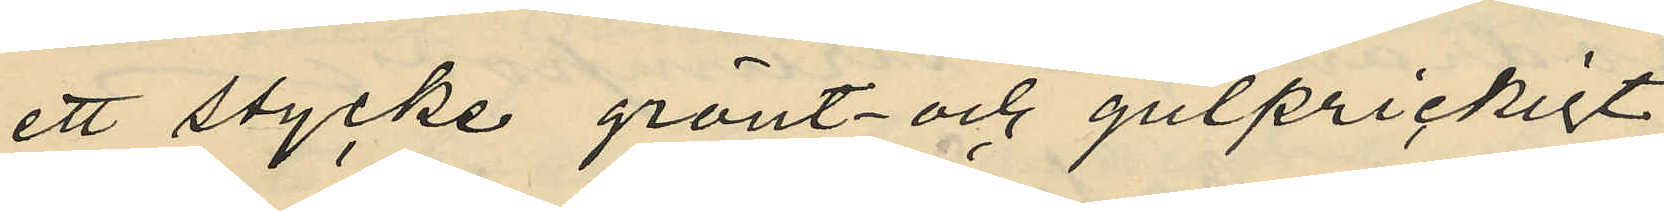ett stycke grönt- och gulprickigt
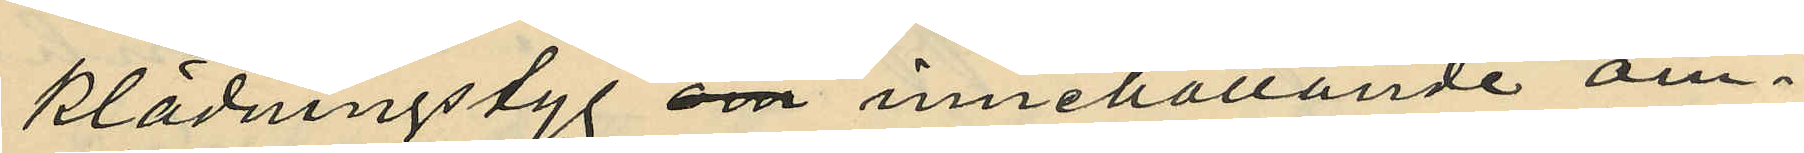klädningstyg om innehållande om¬
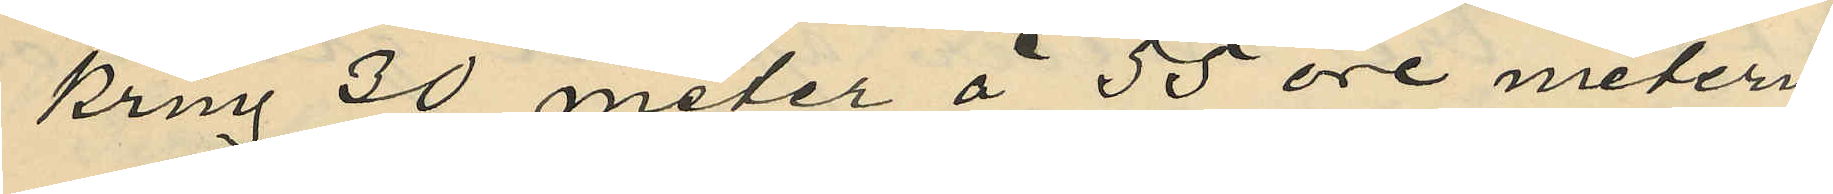kring 30 meter á 55 öre metern
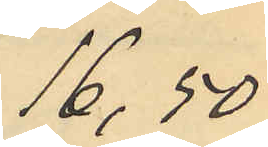16,50
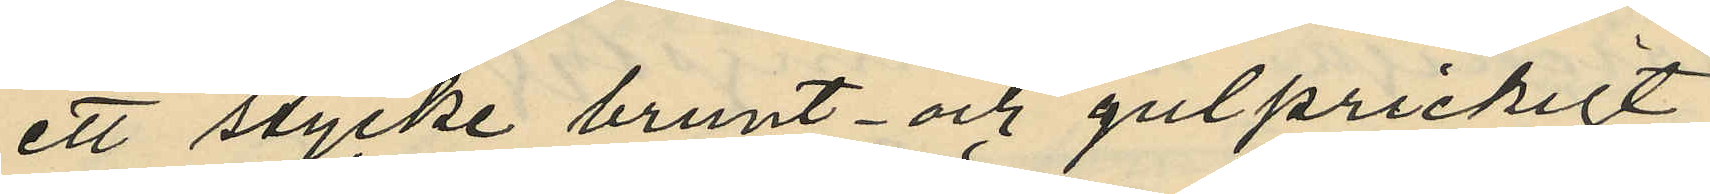ett stycke brunt- och gulprickigt
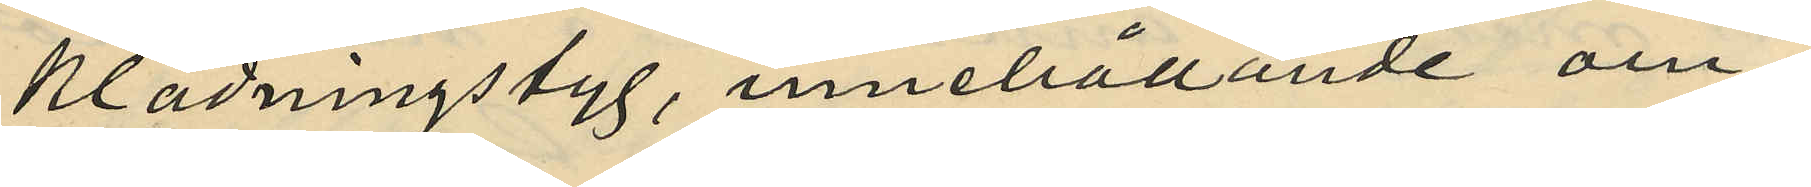klädningstyg, innehållande om¬
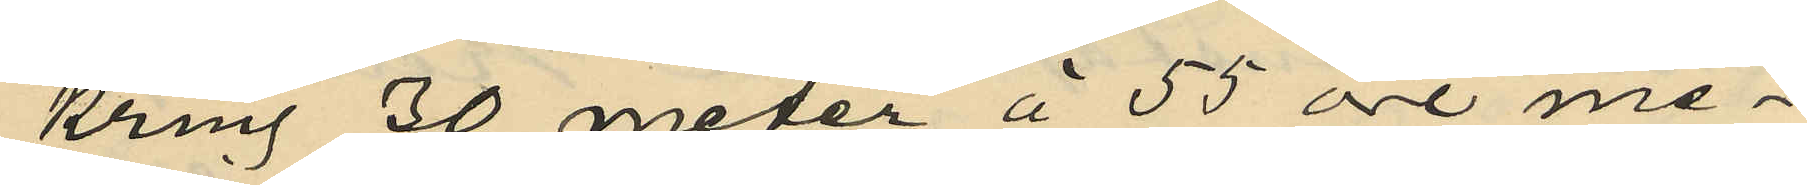kring 30 meter á 55 öre me¬
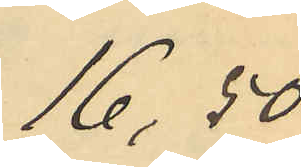16,50
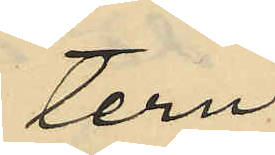tern
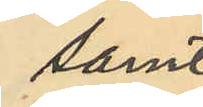samt
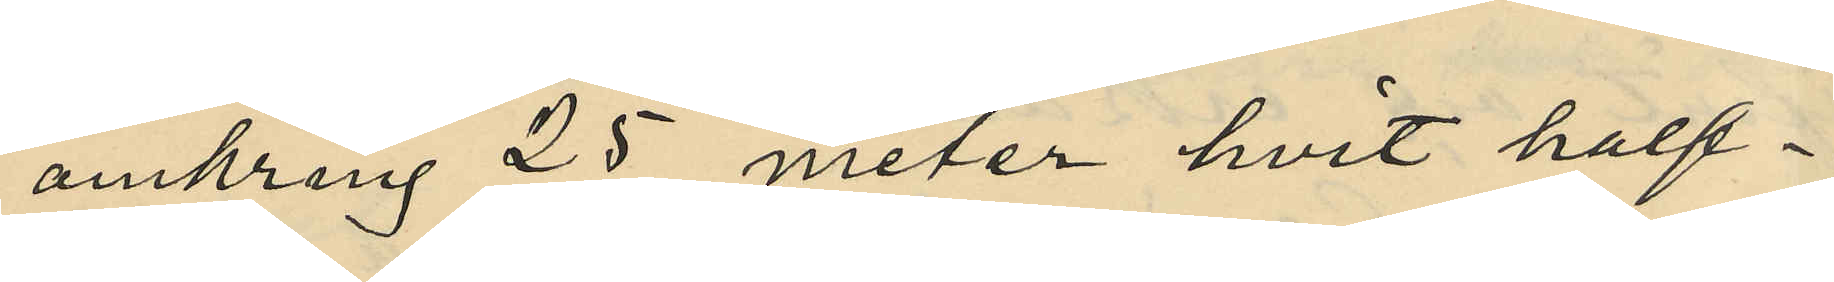omkring 25 meter hvit half¬
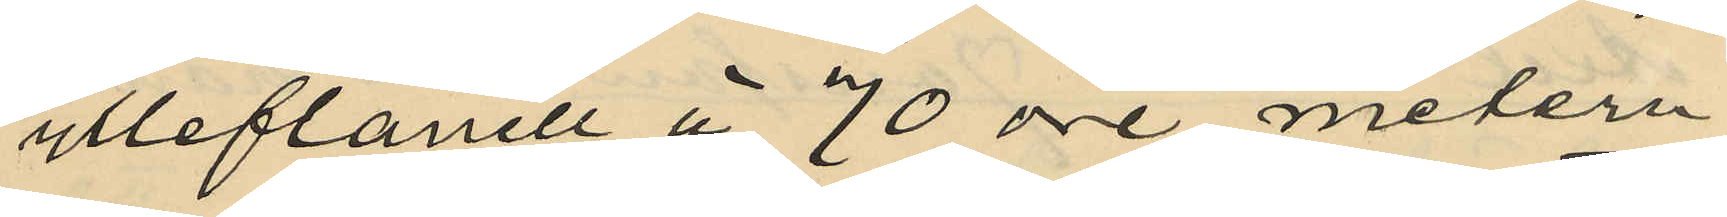ylleflanell á 70 öre metern
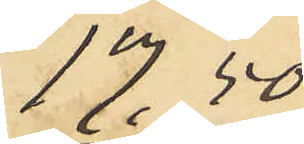17.50
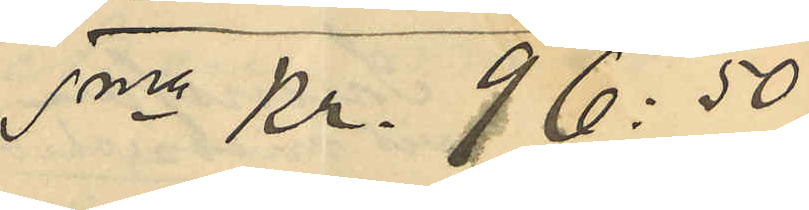Sma Kr. 96:50
